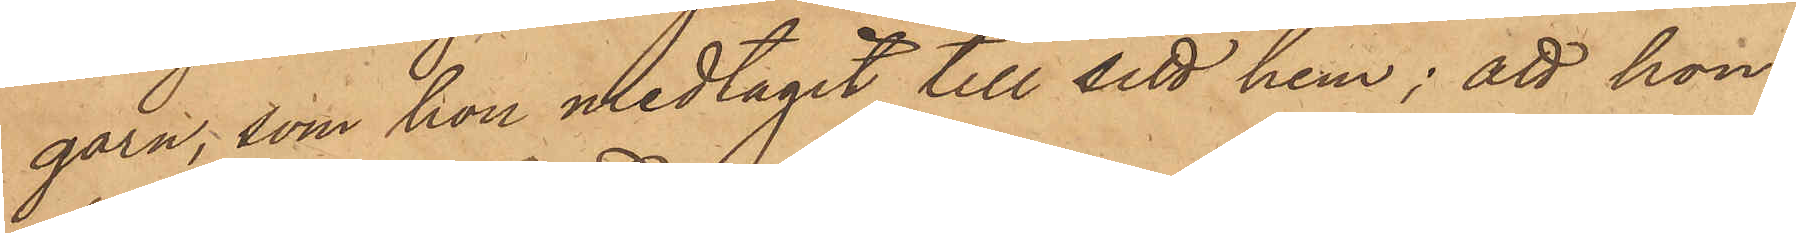garn, som hon medtagit till sitt hem; att hon
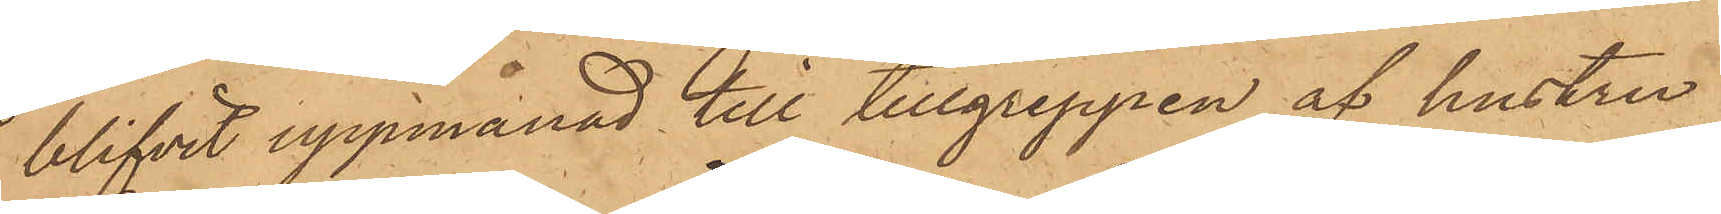blifvit uppmanad till tillgreppen af hustru
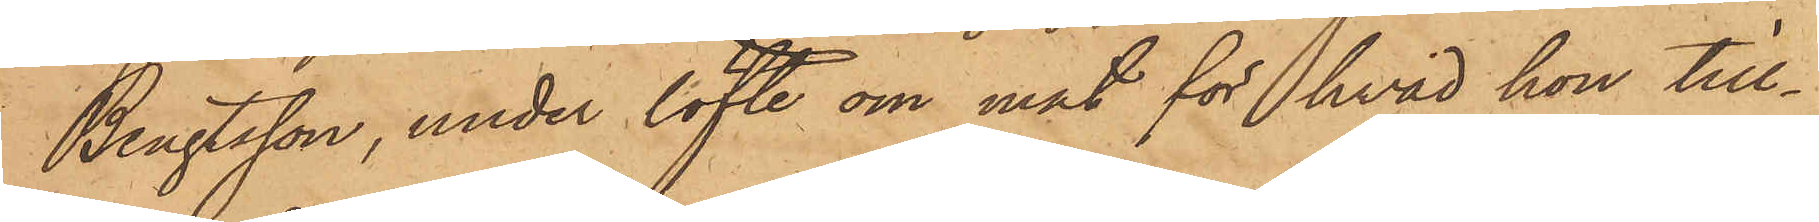Bengtsson, under löfte om mat för hvad hon till¬
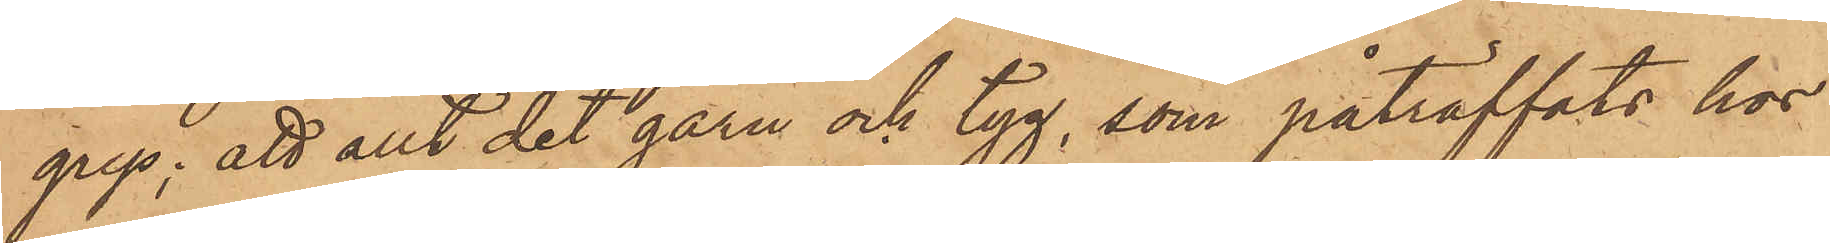grep; att allt det garn och tyg, som påträffats hos
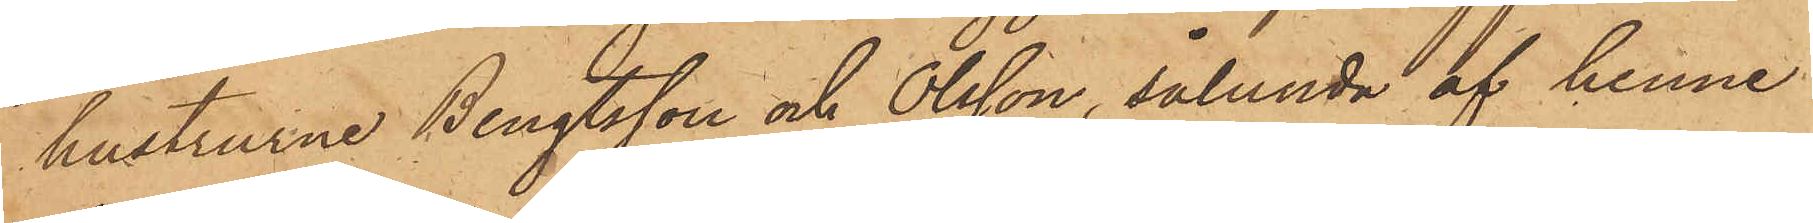hustrurne Bengtsson och Olsson, sålunda af henne
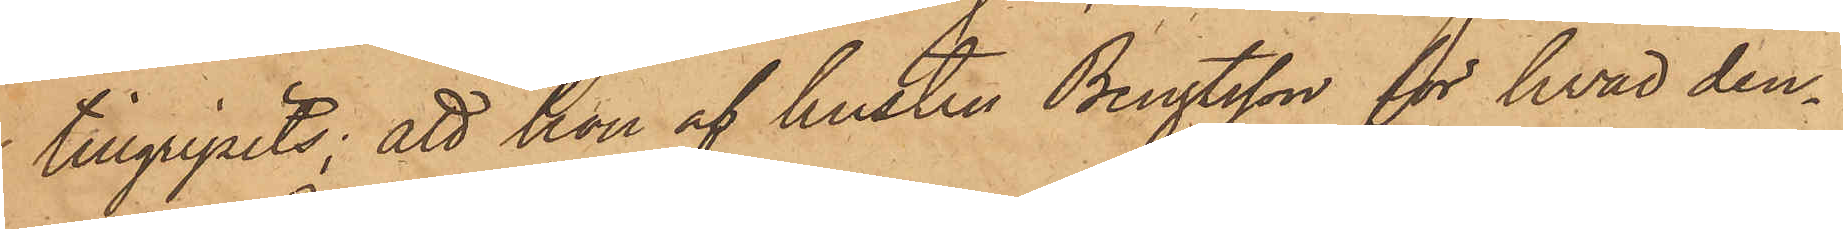 tillgripits; att hon af hustru Bengtsson för hvad den¬
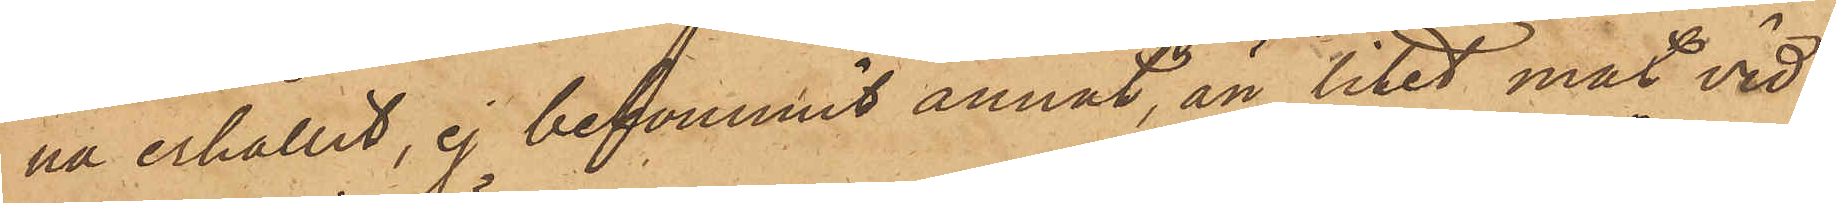na erhållit, ej bekommit annat, än litet mat vid
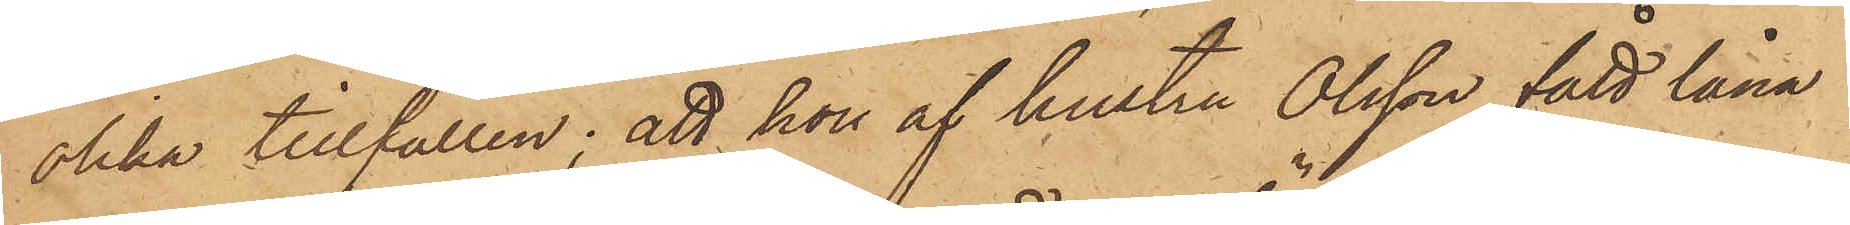olika tillfällen; att hon af hustru Olsson fått låna
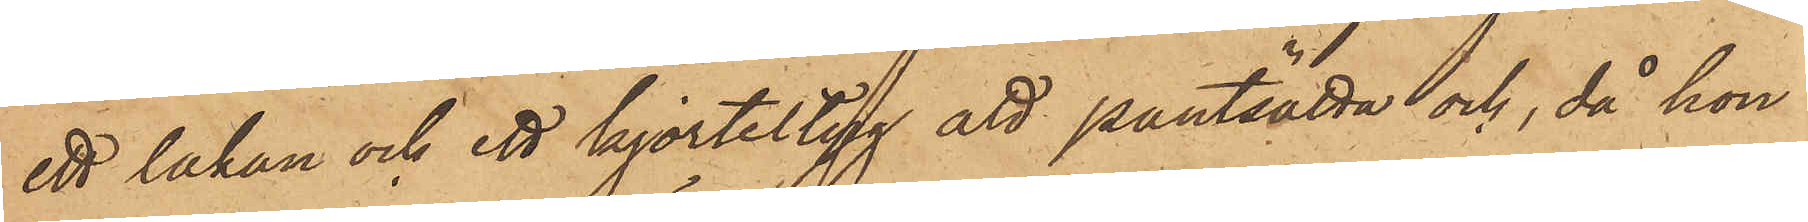ett lakan och ett kjorteltyg att pantsätta och, då hon
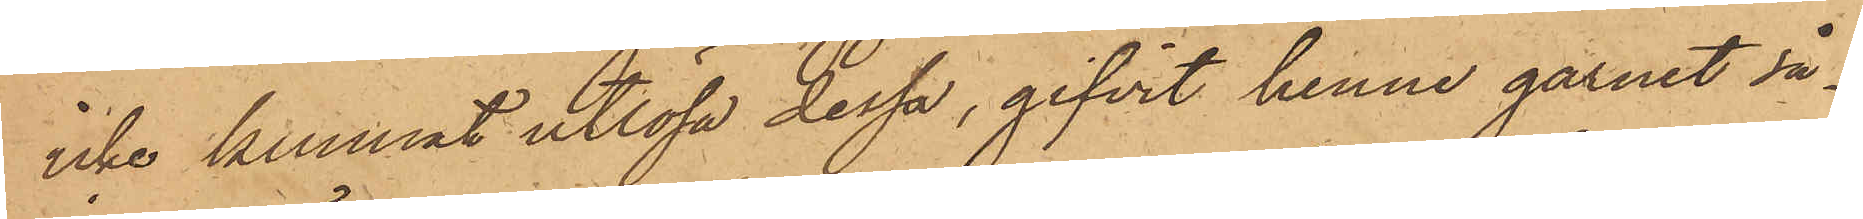icke kunnat utlösa dessa, gifvit henne garnet så¬
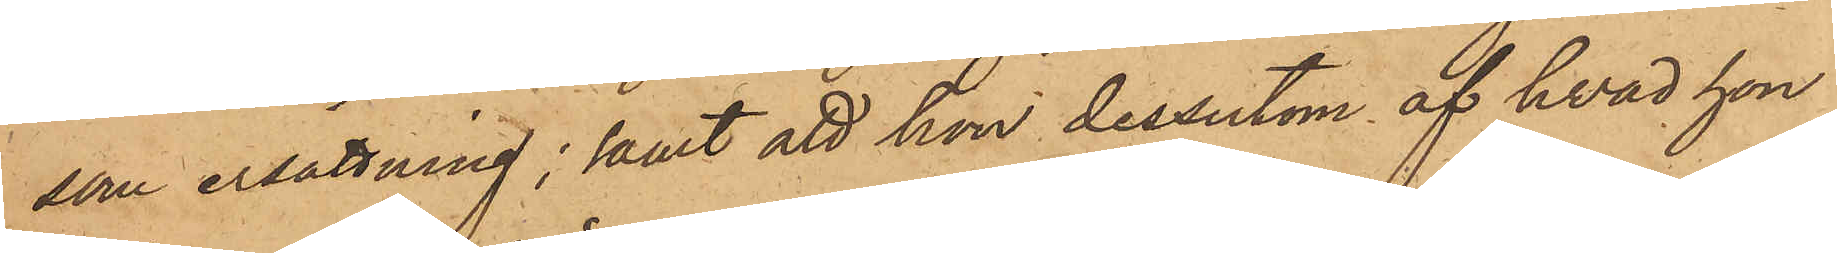som ersättning; samt att hon dessutom af hvad hon
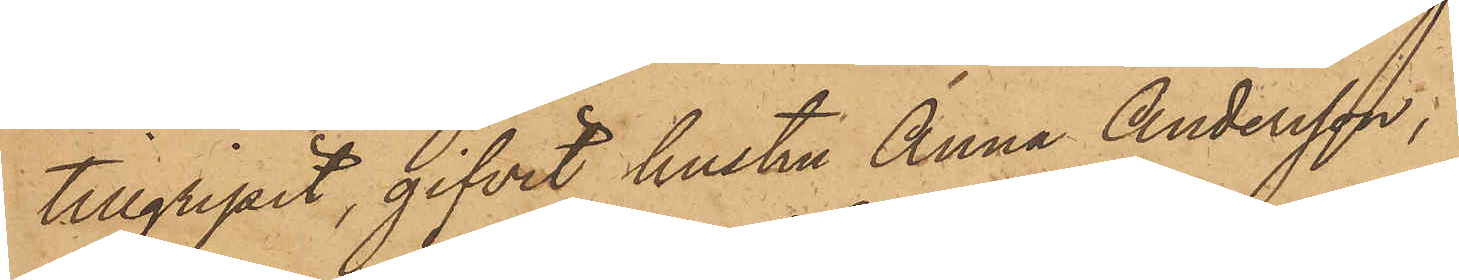tillgripit, gifvit hustru Anna Andersson;
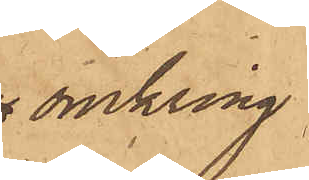omkring
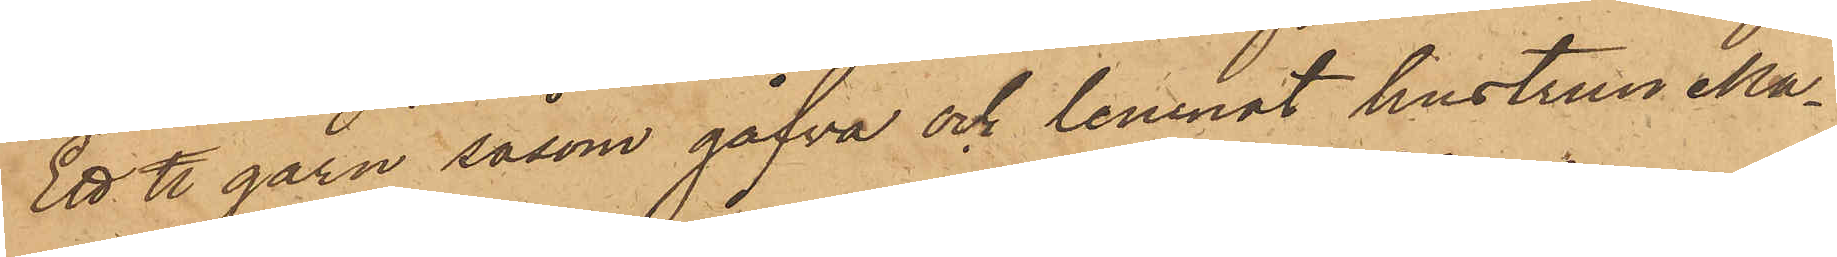Ett ℔ garn såsom gåfva och lemnat hustrun Ma¬
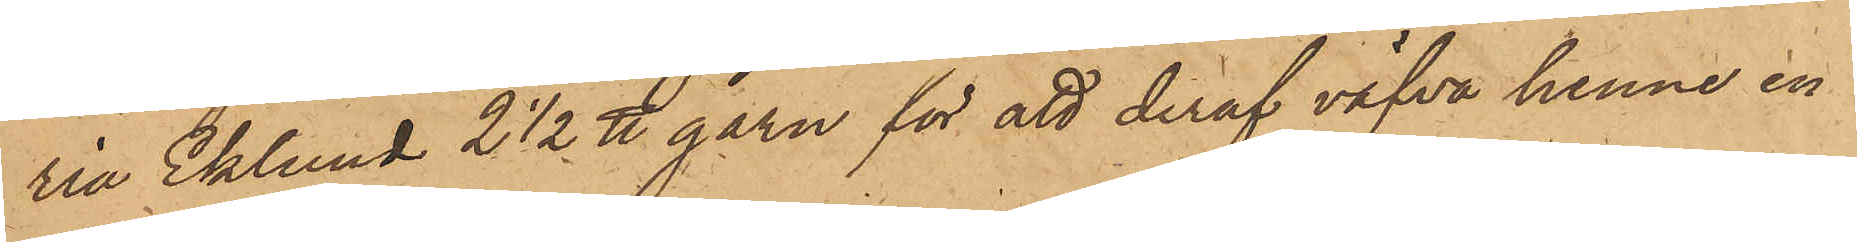ria Eklund 2 1/2 ℔ garn för att deraf väfva henne en
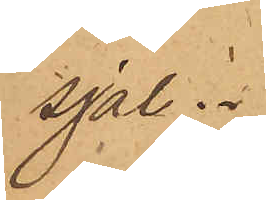sjal.
